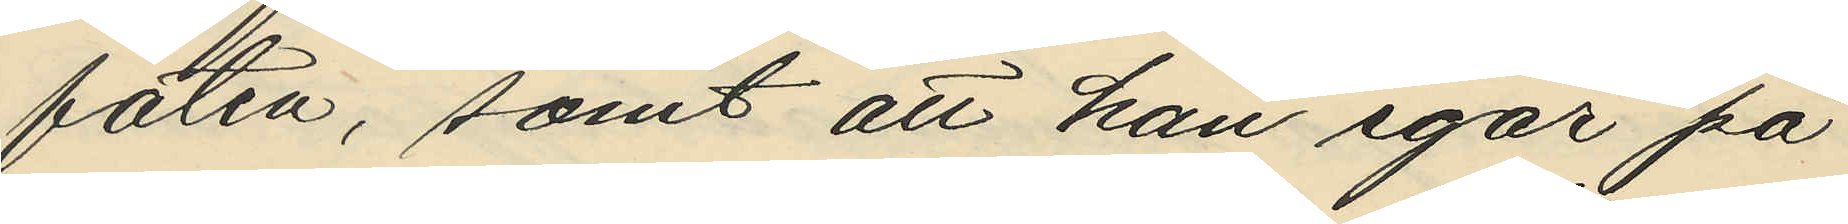faten, samt att han igår på
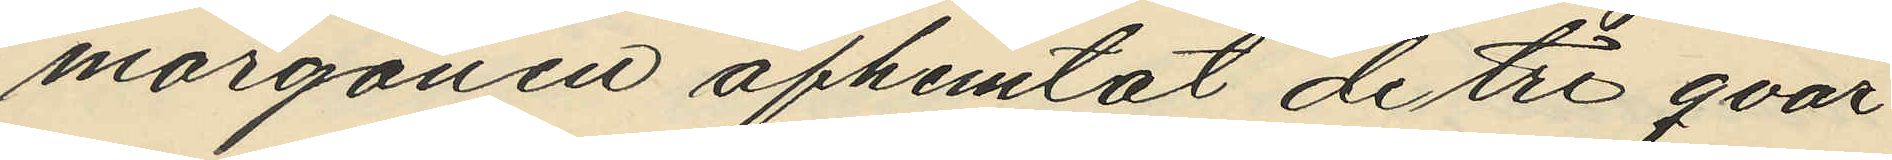morgonen afhemtat de tre qvar¬
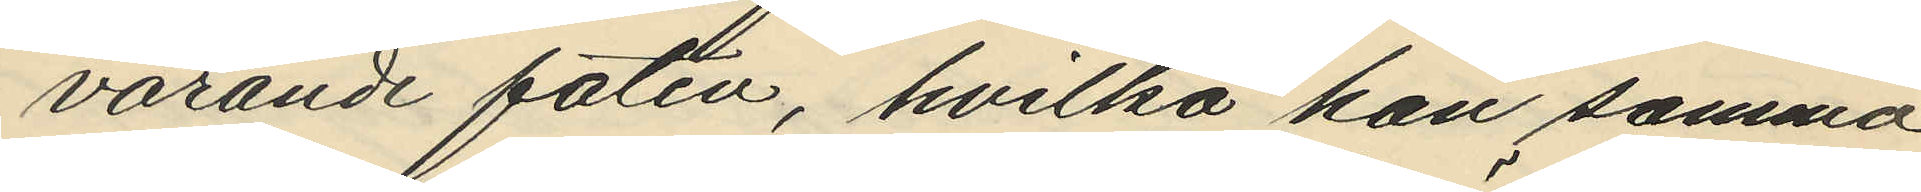varande faten, hvilka han samma
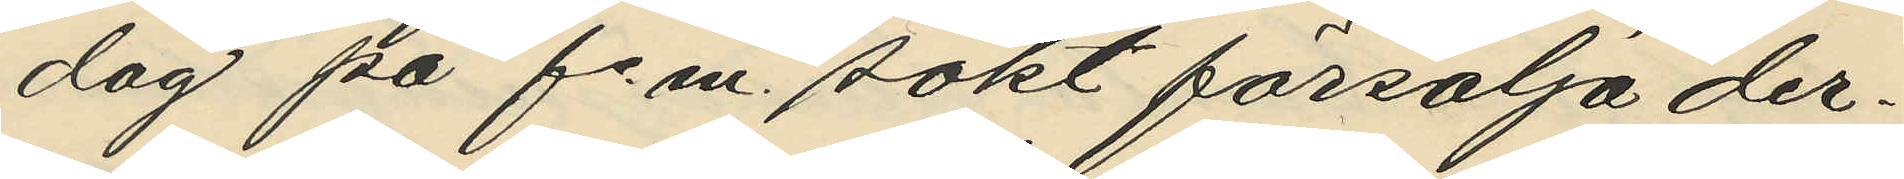dag på f. m. sökt försälja der¬
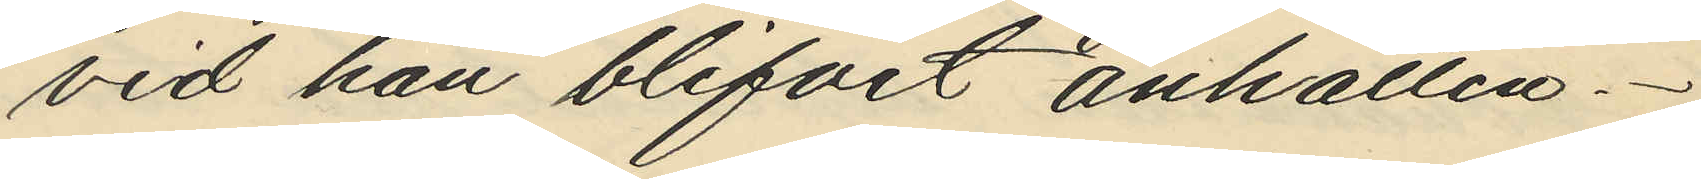vid han blifvit anhållen.
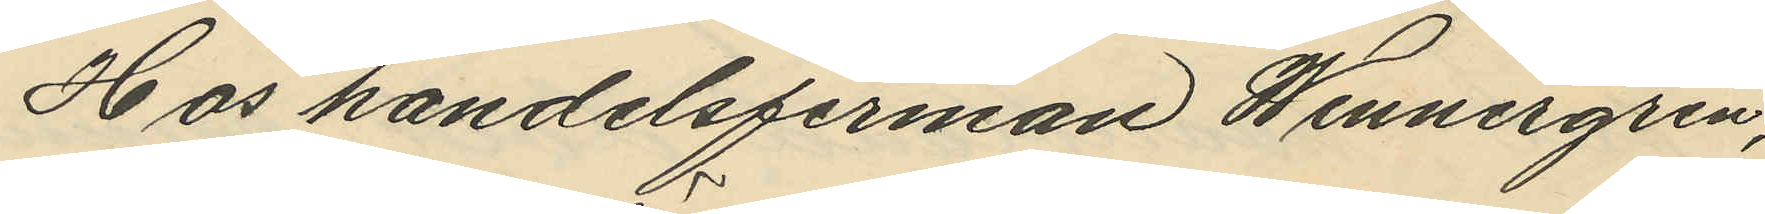Hos handelsfirman Wennergren,
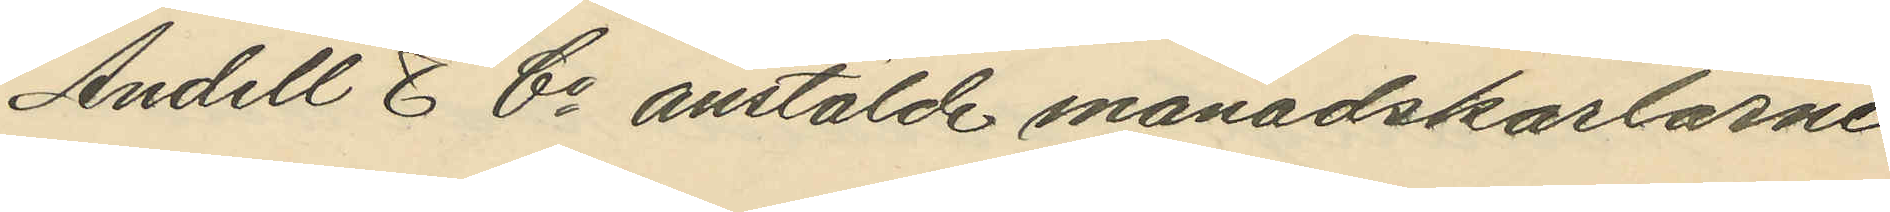Andell & Co anstälde månadskarlarne
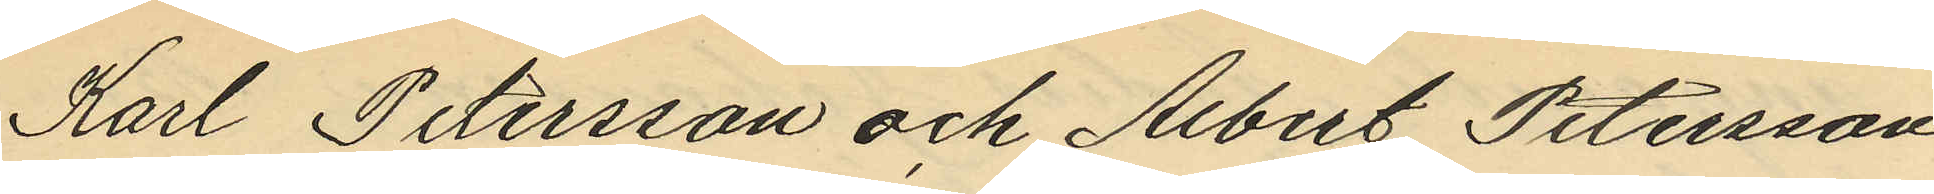Karl Petersson och Albert Petersson
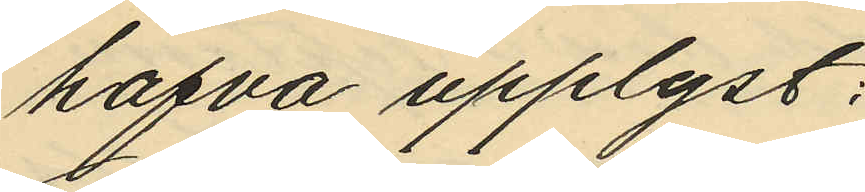hafva upplyst:
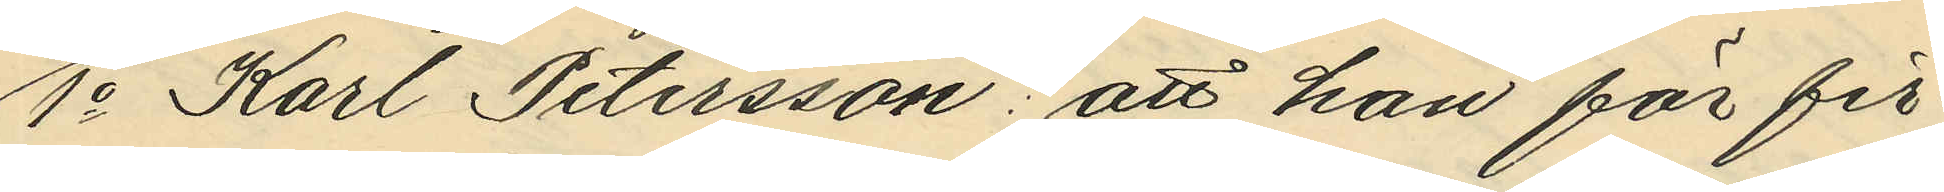1o Karl Petersson: att han för fir¬
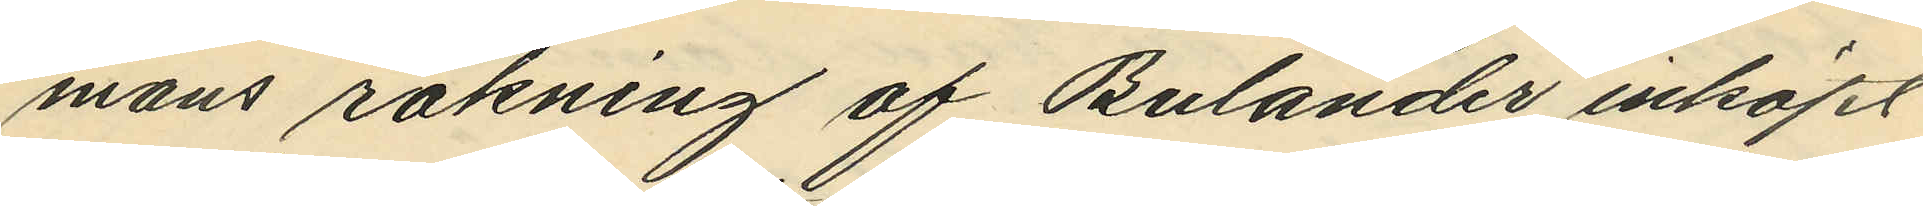mans räkning af Bulander inköpt
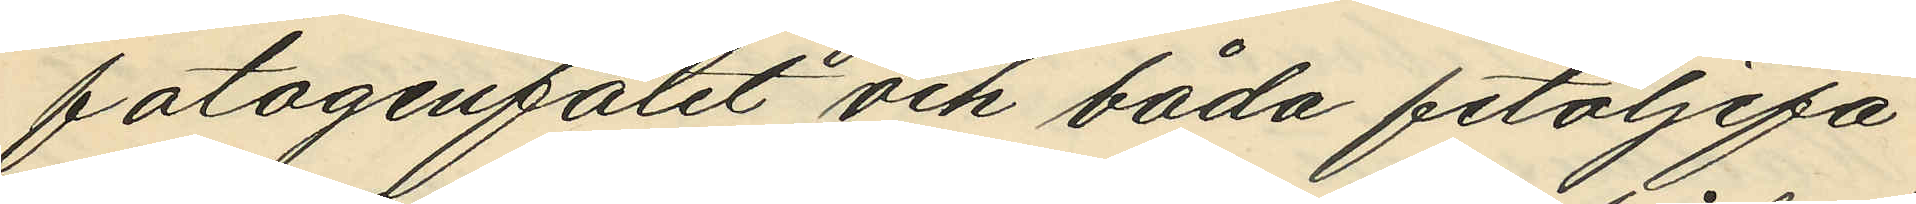fotogenfatet och båda fetoljefa¬
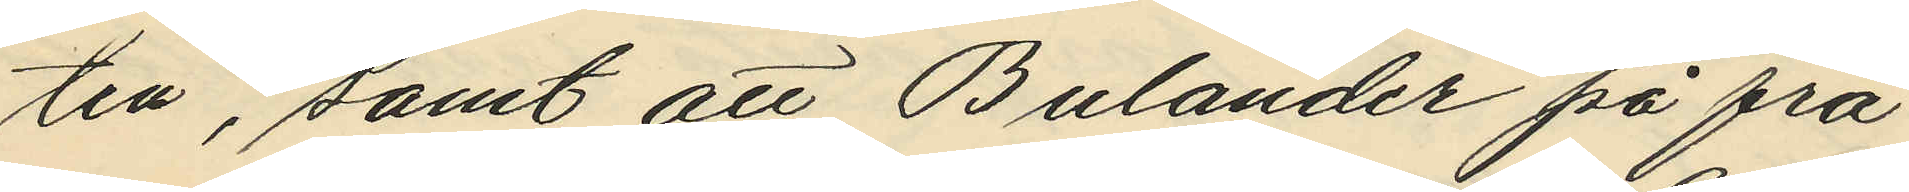ten, samt att Bulander på frå¬
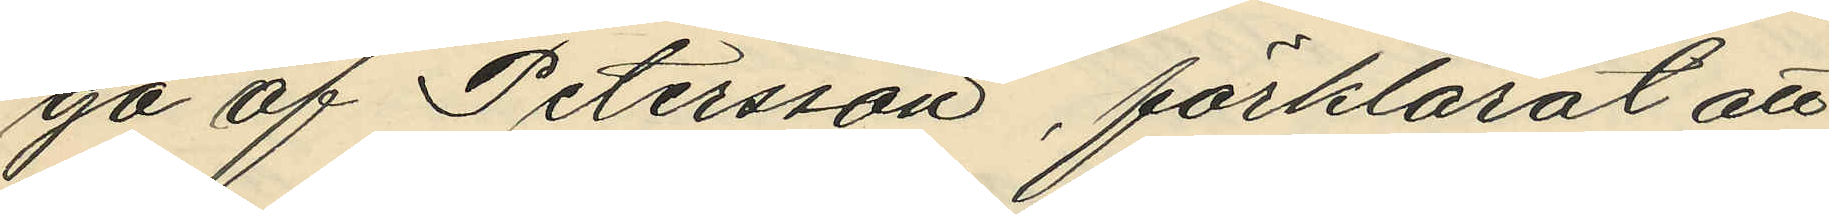ga af Petersson, förklarat att
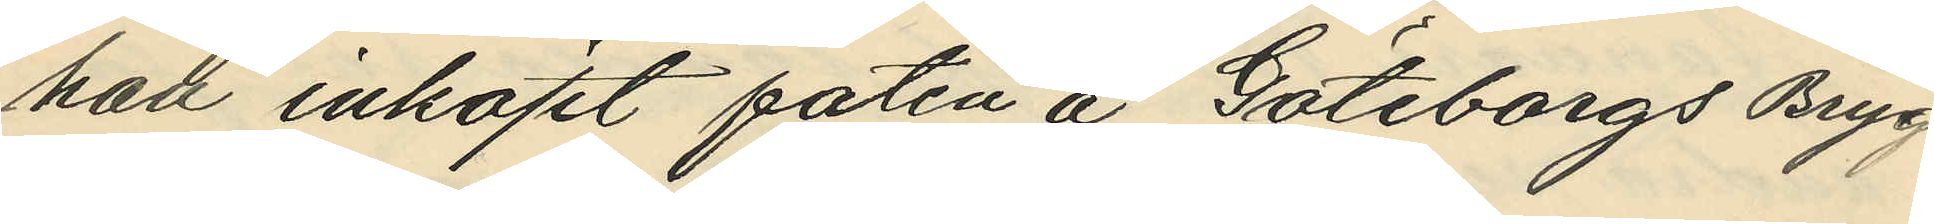han inköpt faten å Göteborgs Bryg¬
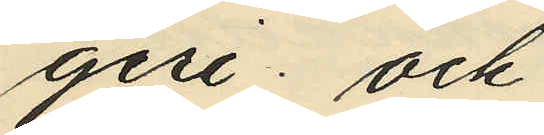geri; och
